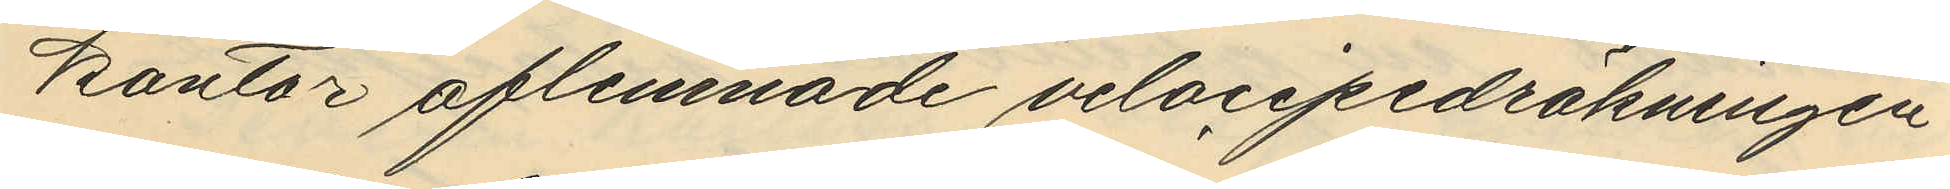kontor aflemnade velocipedräkningen
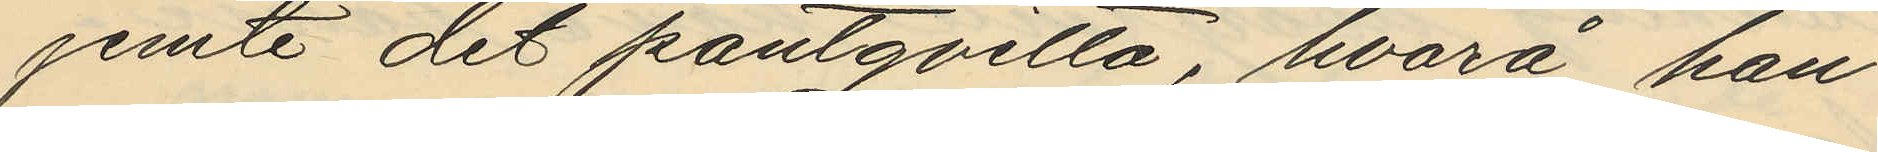jemte det pantqvitto, hvarå han
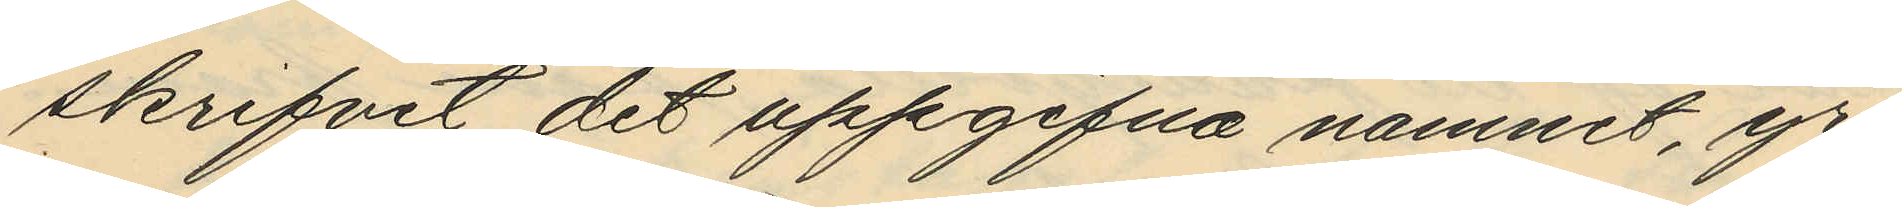skrifvit det uppgifna namnet, yr¬
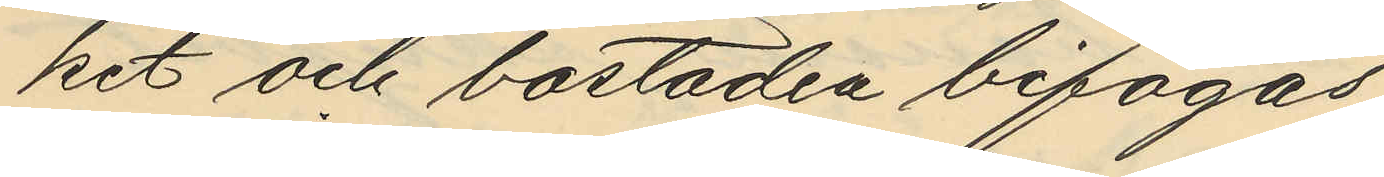ket och bostaden bifogas
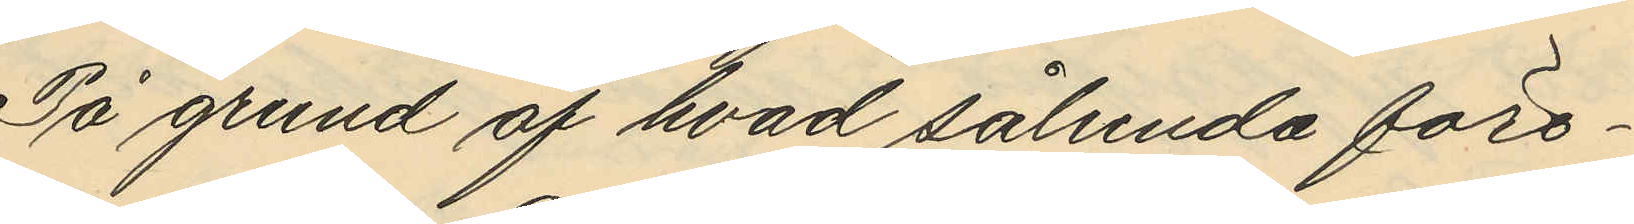På grund af hvad sålunda före¬
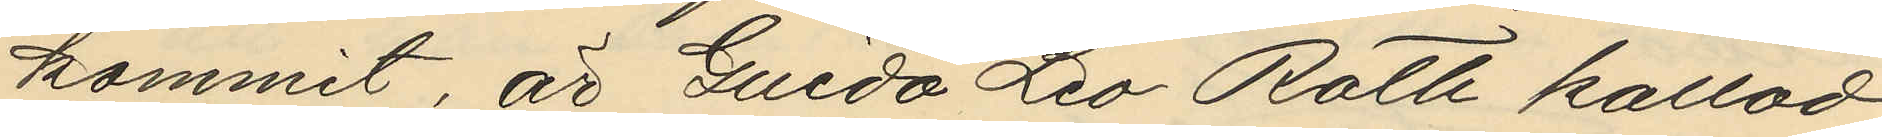kommit, är Guido Leo Roth kallad
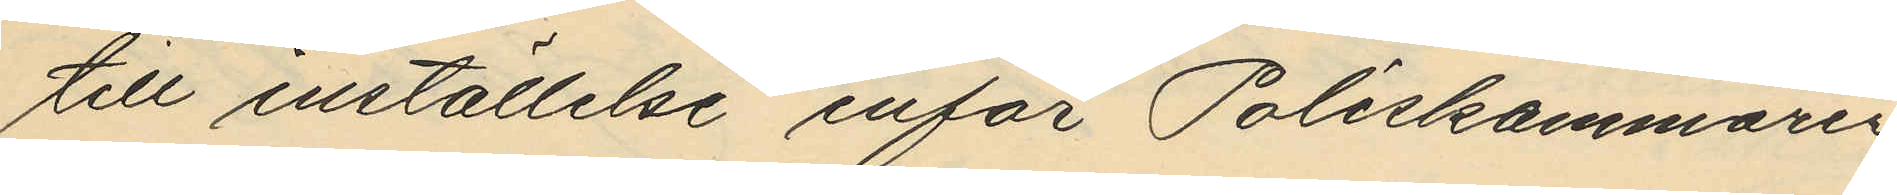till inställelse inför Poliskammaren
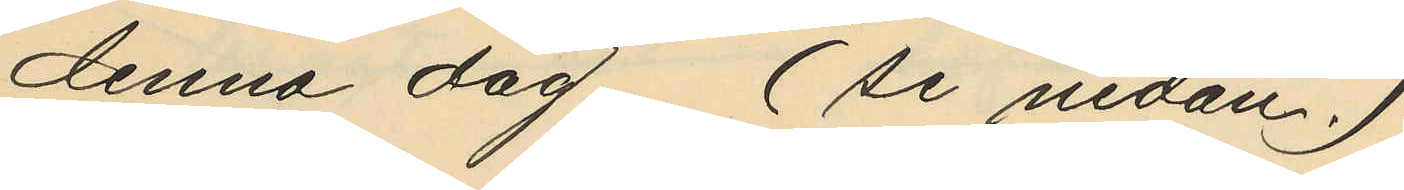denna dag. (se nedan)
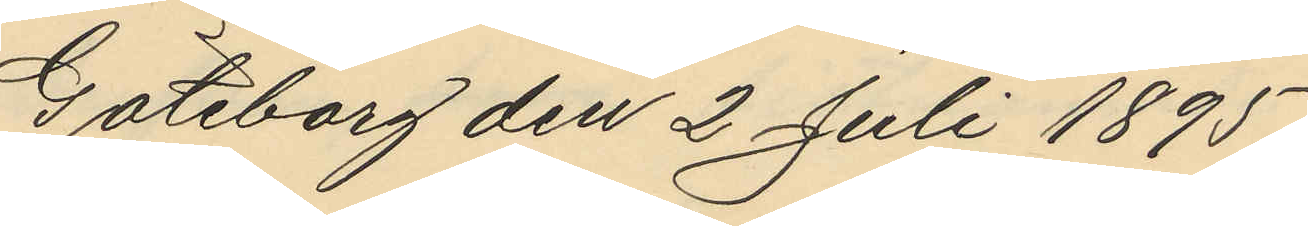Göteborg den 2 Juli 1895.
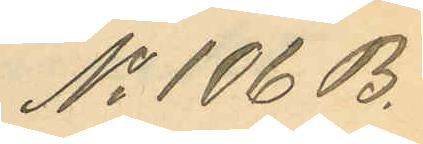No 106 B.
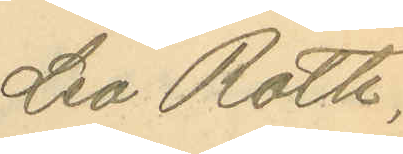Leo Roth.
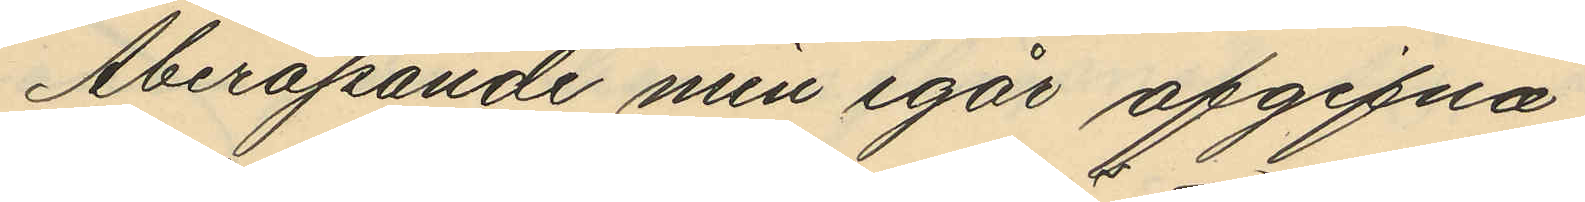Åberopande min igår afgifna
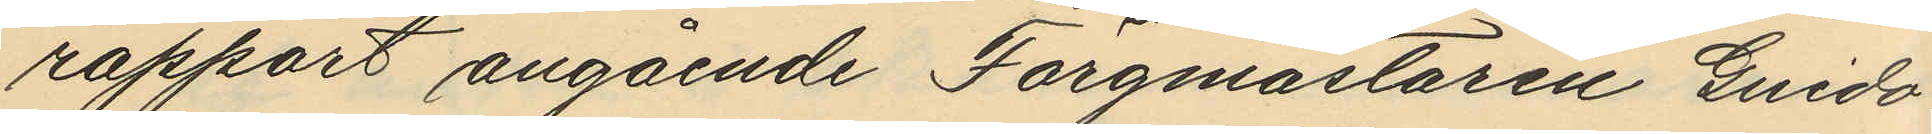rapport angående Färgmästaren Guido
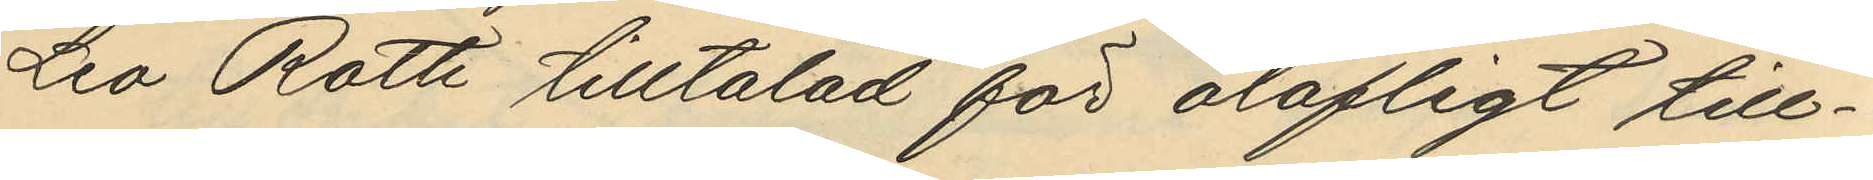Leo Roth tilltalad för olofligt till¬
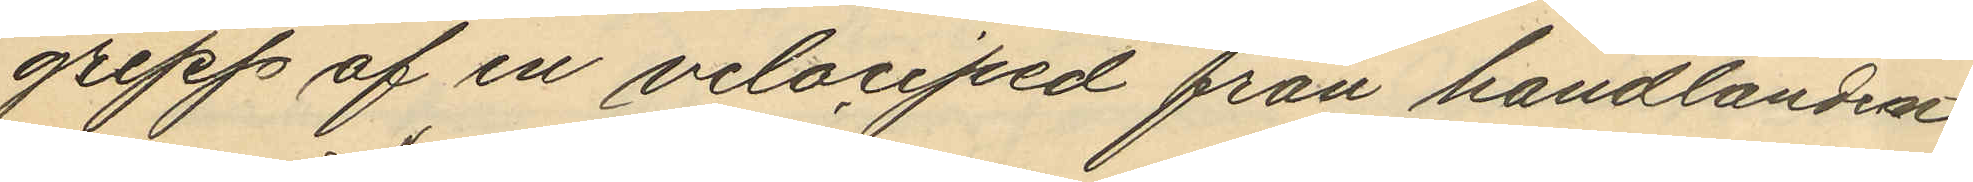grepp af en velociped från handlanden
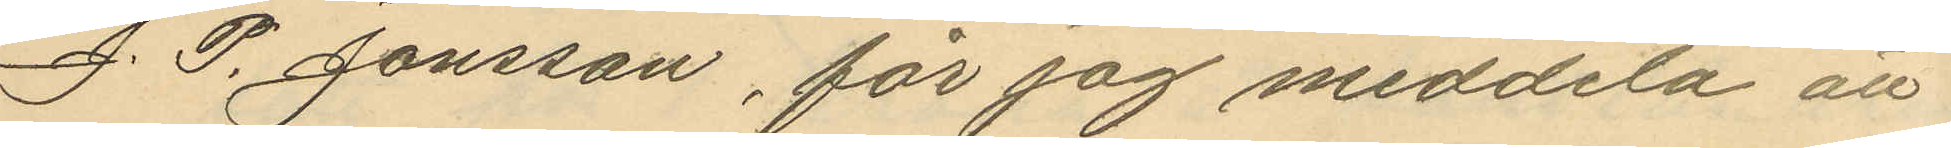J. P. Jönsson, får jag meddela att
